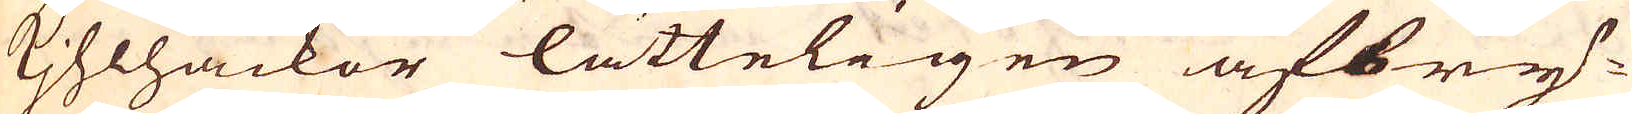Kjhlhackor lätteligen afbry-
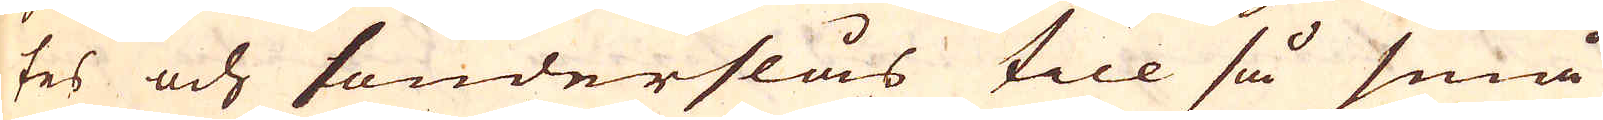tes och sönderslås till så små
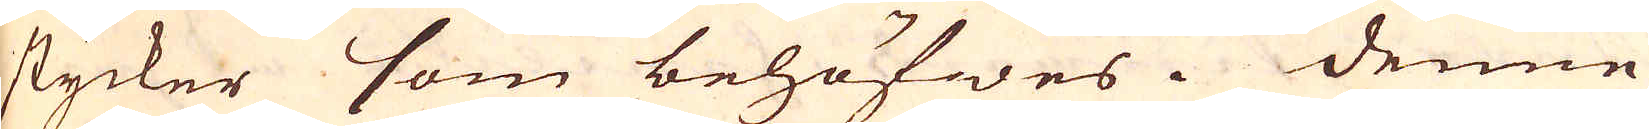stycker som behöfwes. Denne
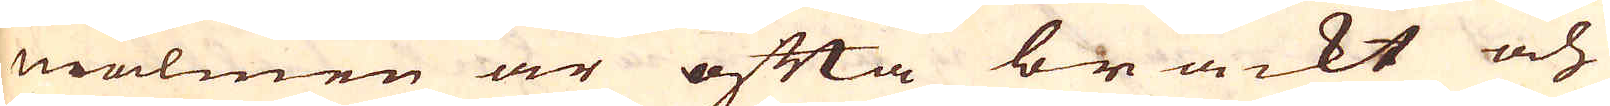malmen är ofta bräckt och
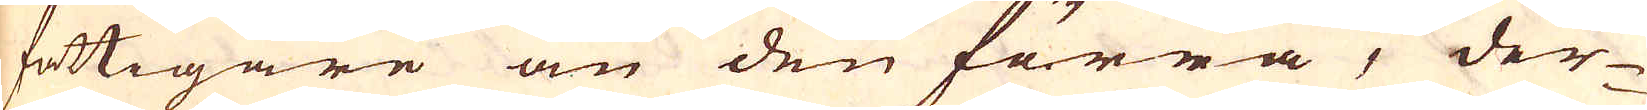fattigare än den förra, der-
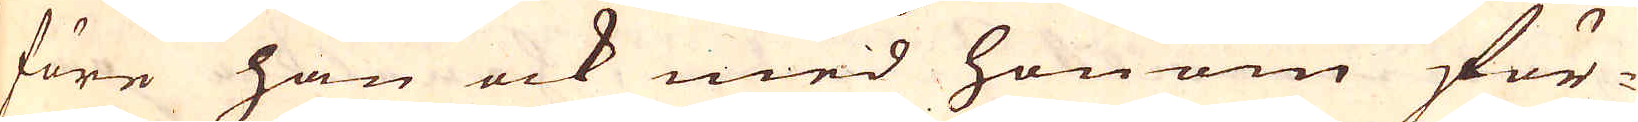före han ock med honom för-
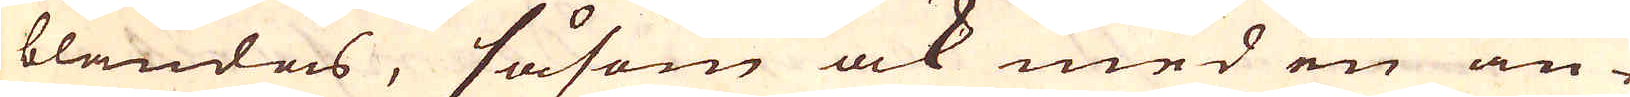blandas, såsom ock med en an-
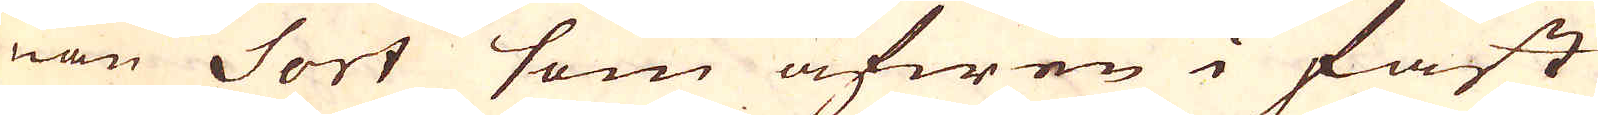nan Sort som äfwen i fast
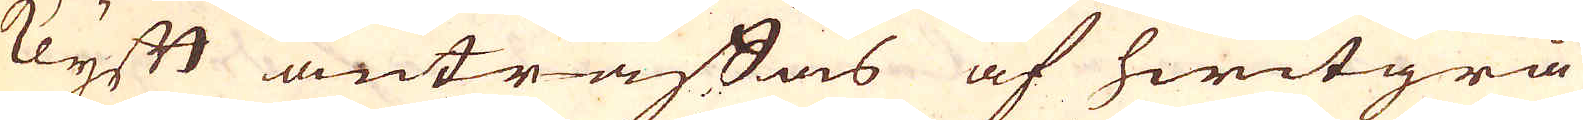Klyft anträffas af hwitgrå
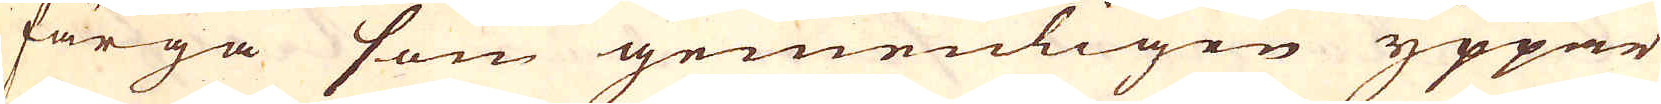färga som gemenligen yppar
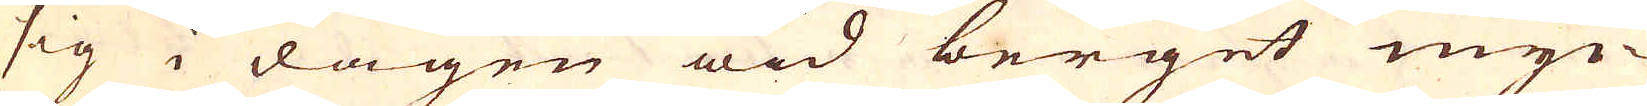sig i dagen wid berget myc-
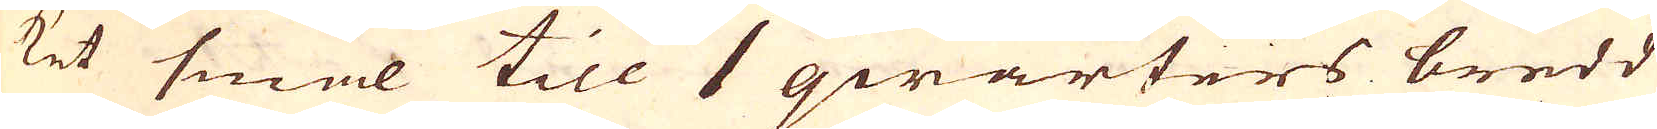ket smal till 1 qwarters bredd
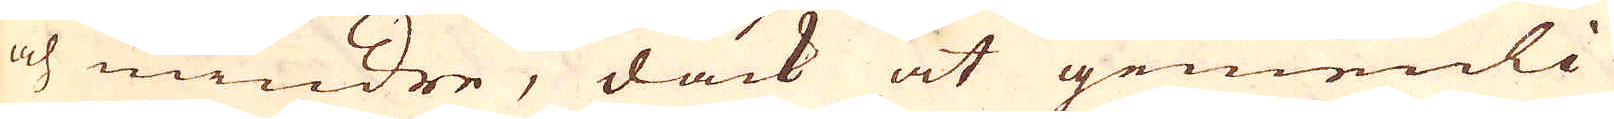och mindre, dåck at gemenli-
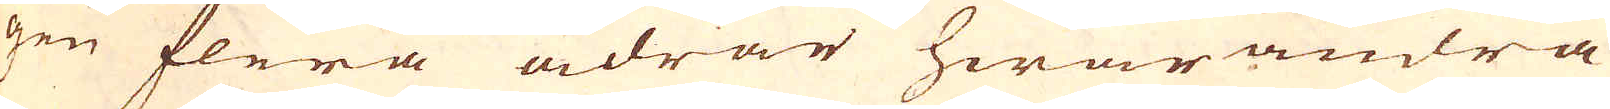gen flera ådrar hwarandra
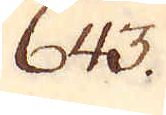643.
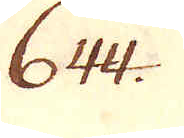644.
